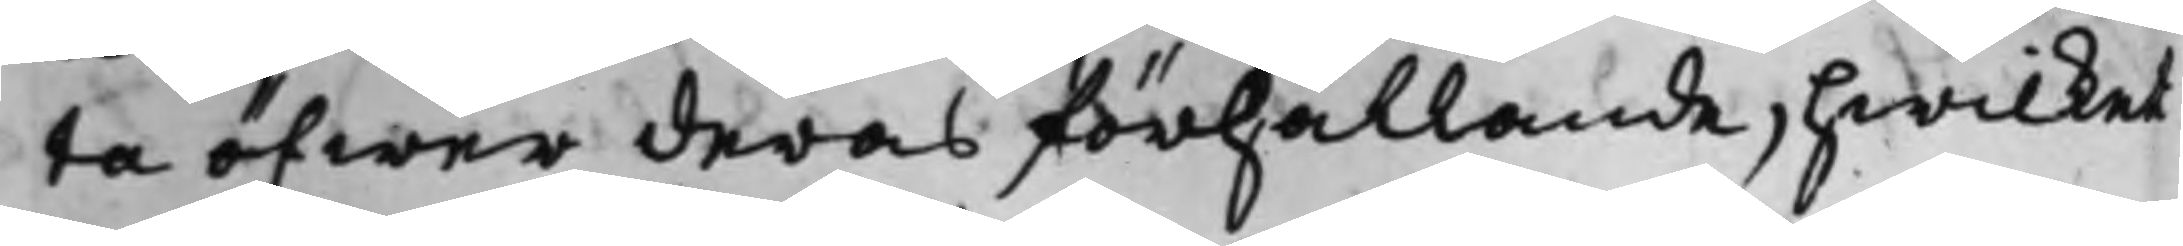ta öfwer deras förhållande, hwilket
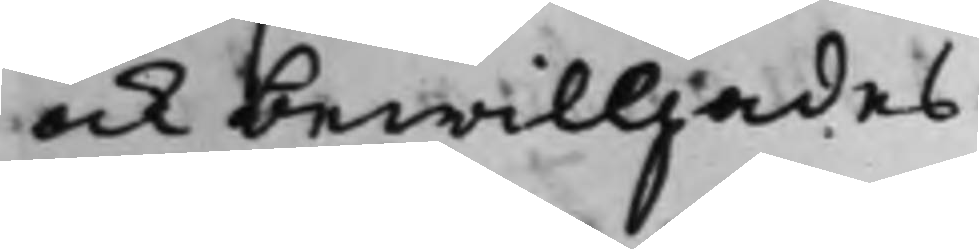ock bewilljades
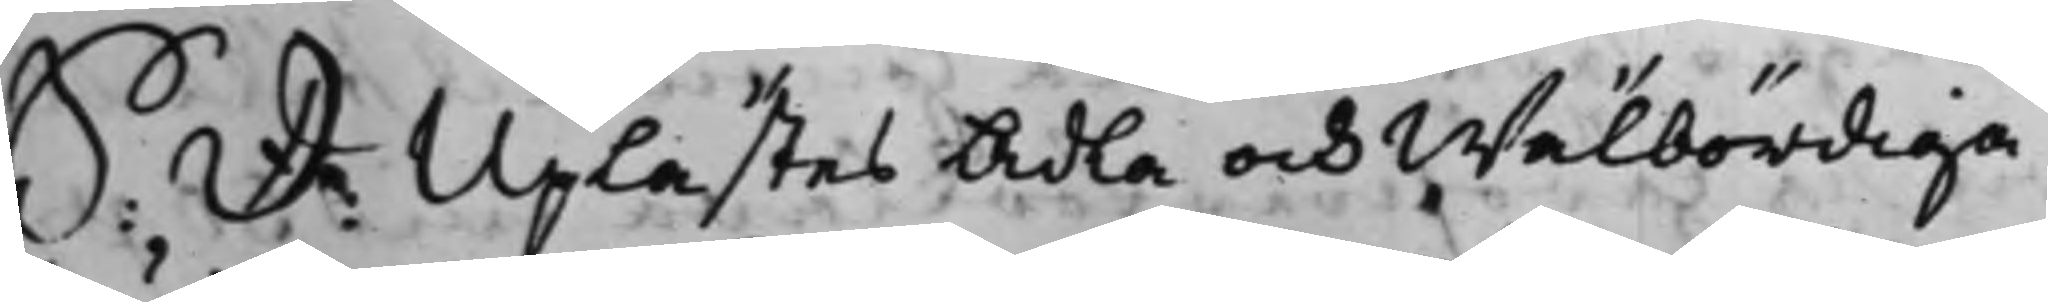S: D. Uplästes Ädla och Wälbördiga
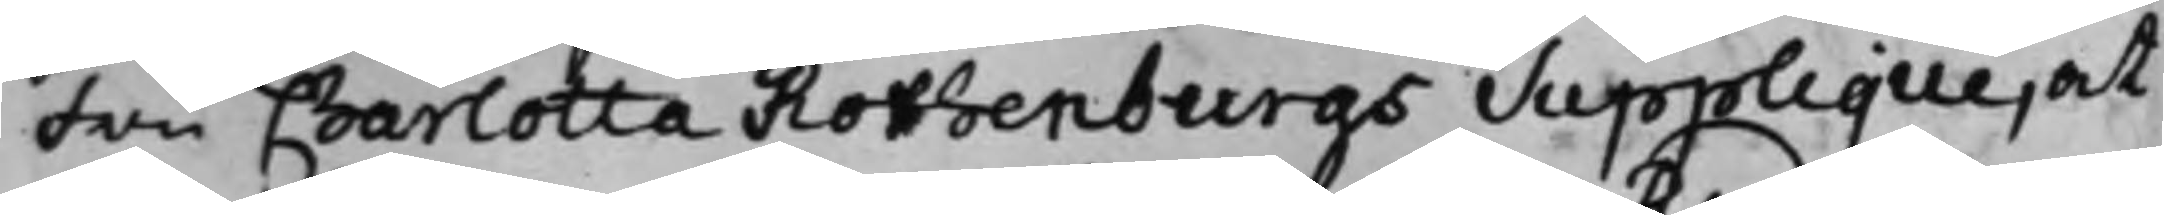Fru Charlotta Rothenburgs Supplique, at
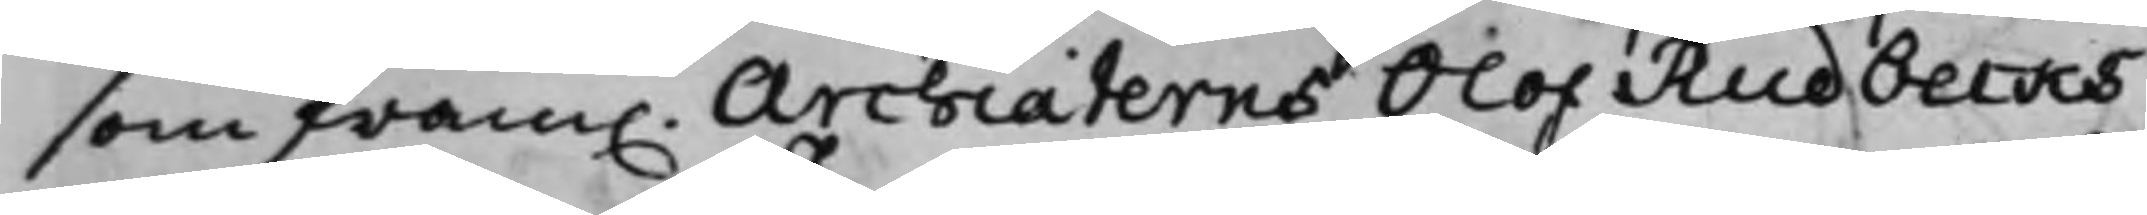som fram. Archiaterns Olof Rudbecks
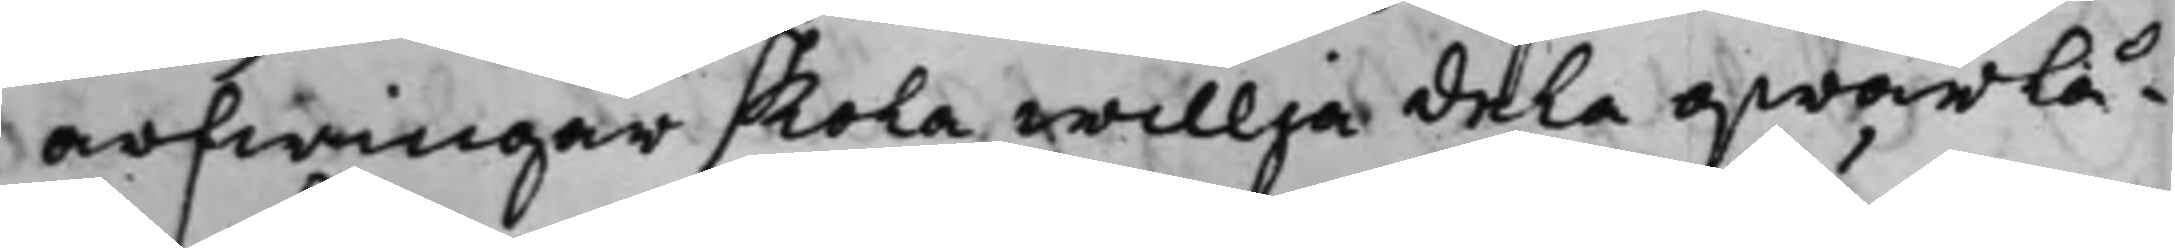arfwingar skola willja dela qwarlå¬
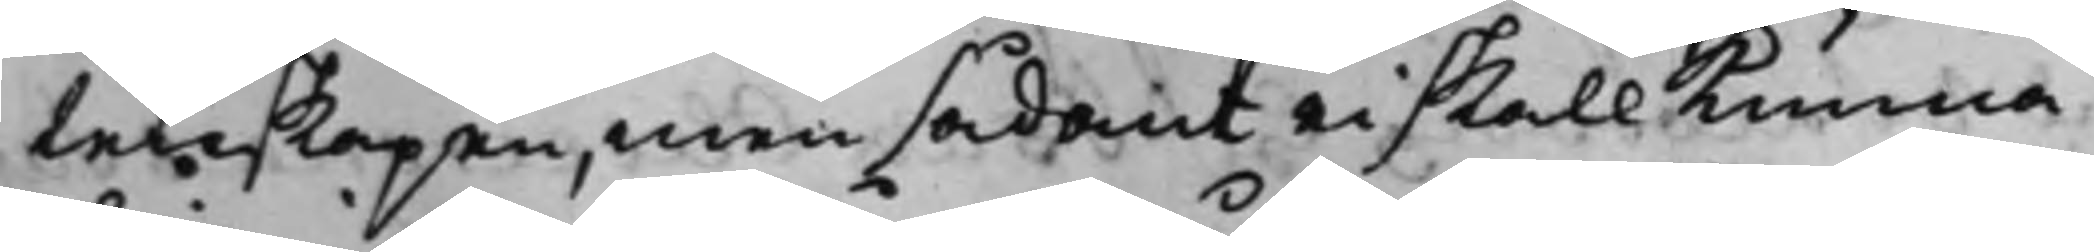tenskapen, men sådant ei skall kunna
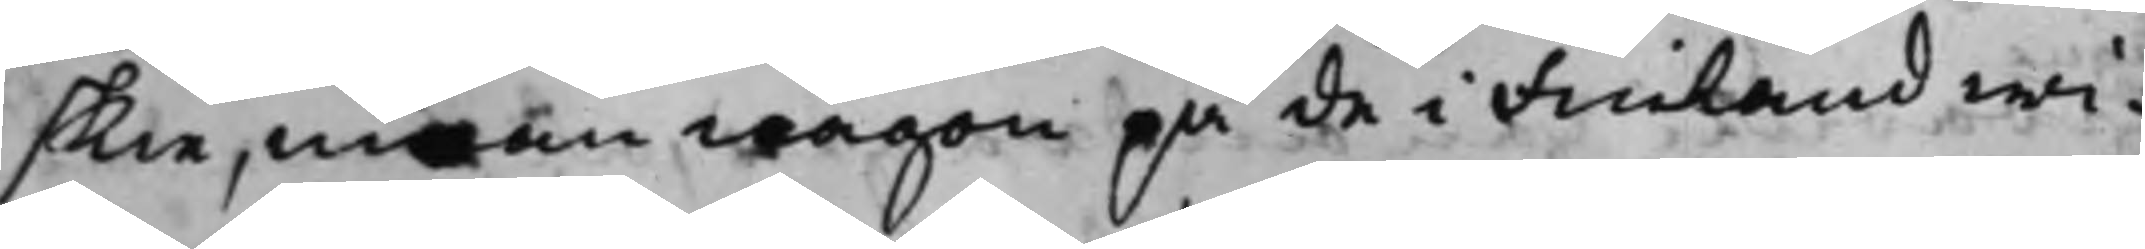skie, innan någon på de i Finland wi¬
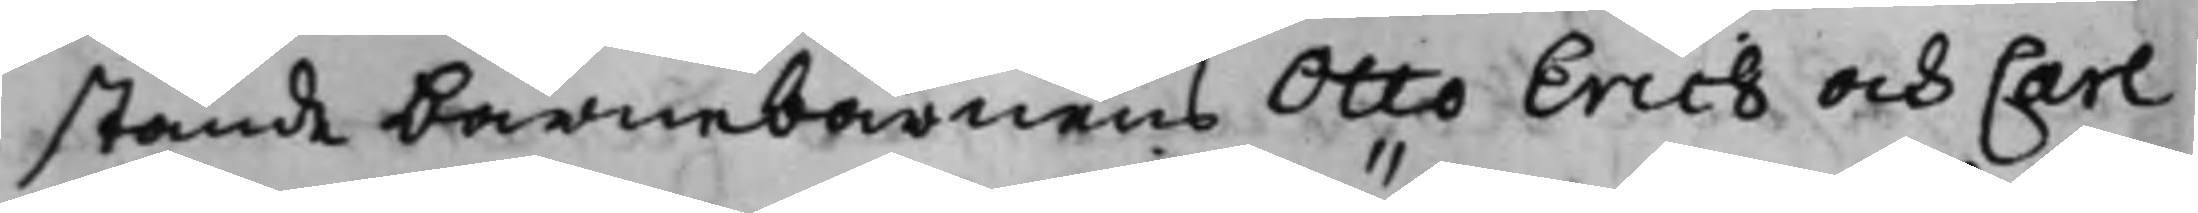stande barnebarnens Otto Erich och Carl
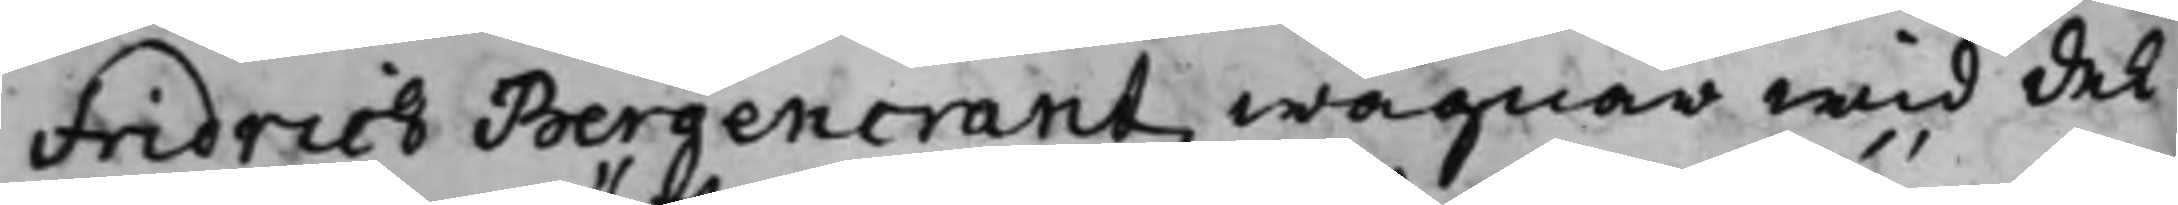Fridrich Bergencrantz wägnar wid del¬
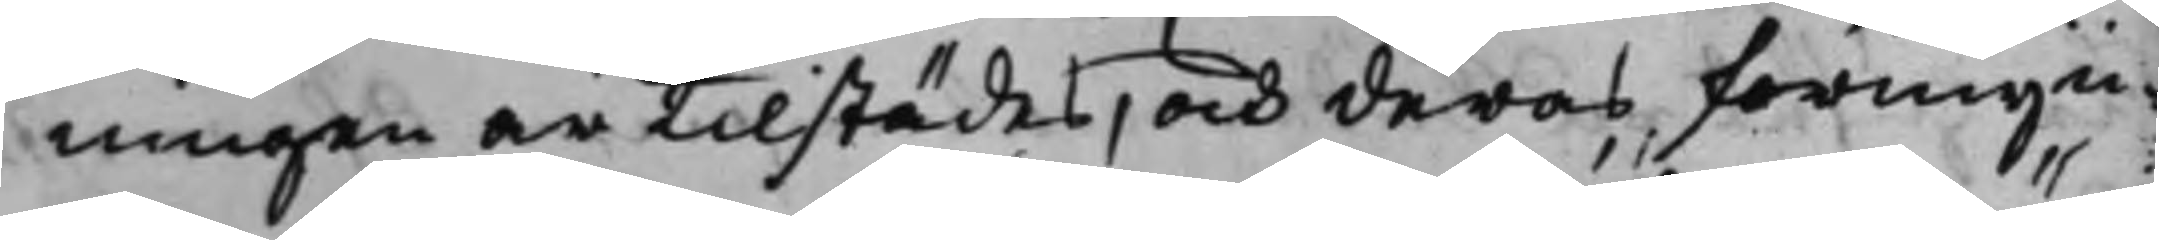ningen är tilstädes, och deras förmyn¬
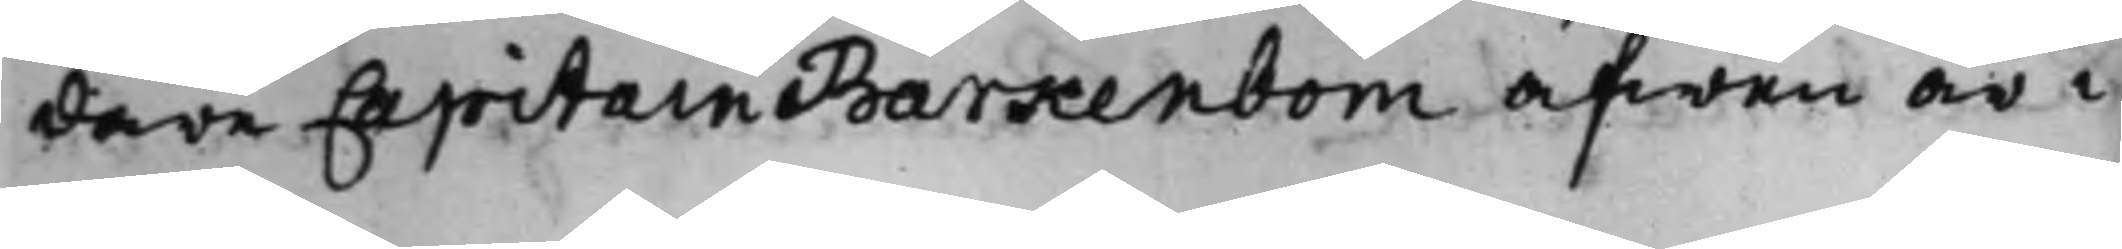dare Capitain Barkenbom äfwen är i
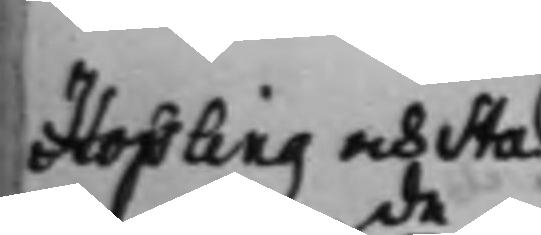Hoffling och Sta¬
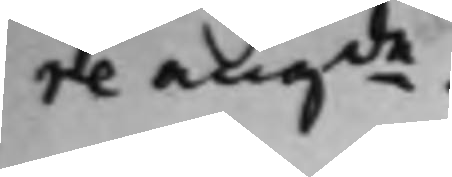re angde.
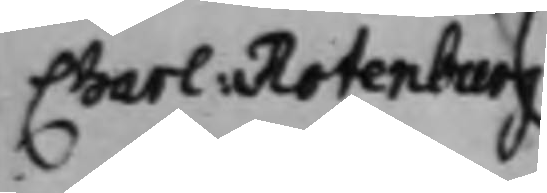Charl Rotenburg
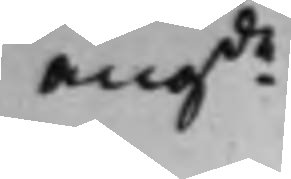angde
